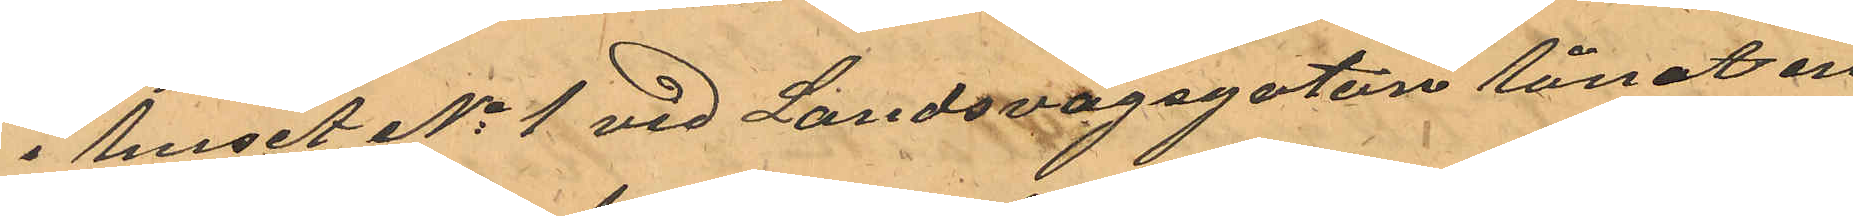i huset No 1 vid Landsvägsgatan lånat en
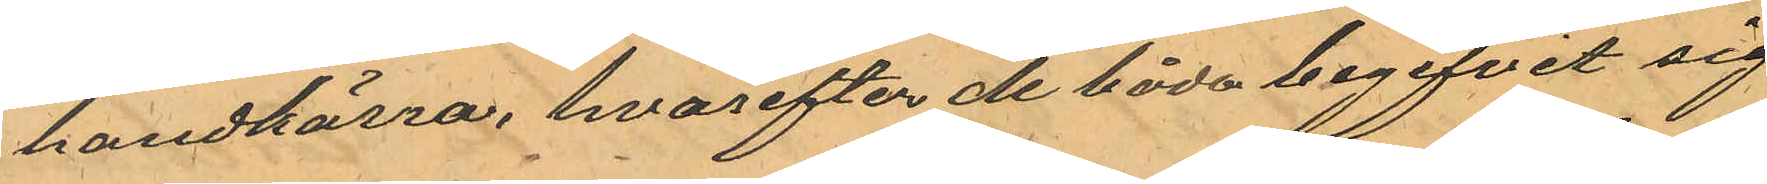handkärra, hvarefter de båda begifvit sig
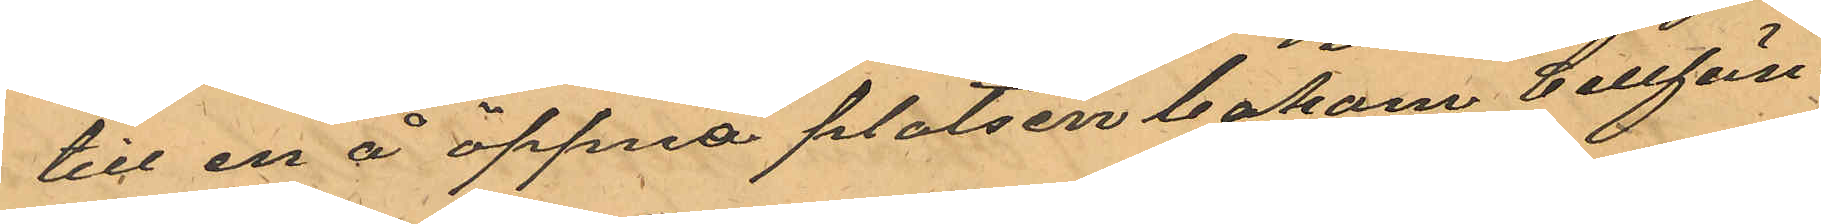till en å öppna platsen bakom Cellfän¬
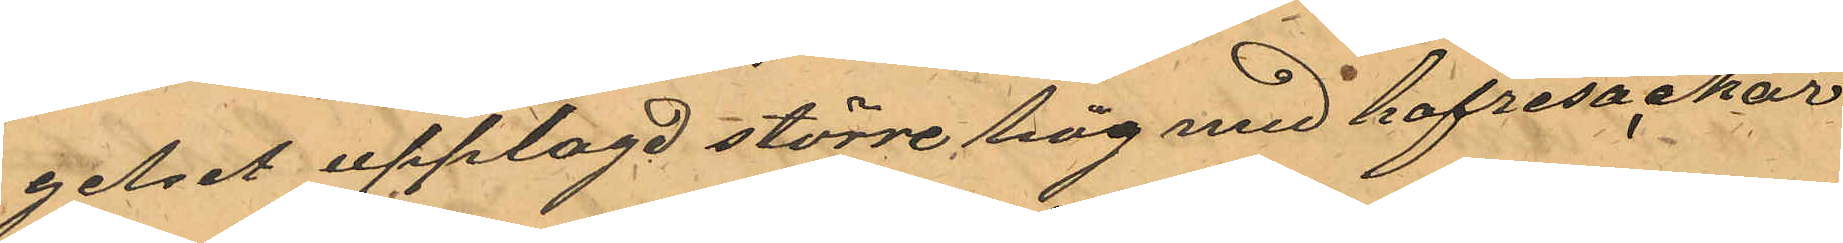gelset upplagd större hög med hafresäckar
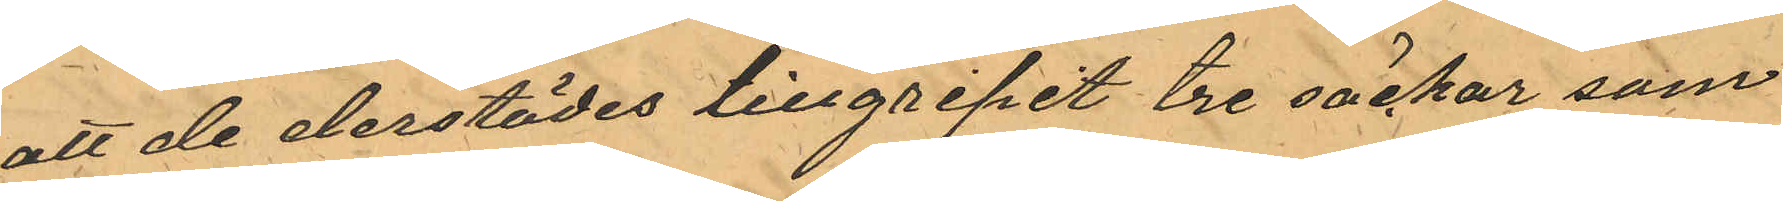att de derstädes tillgripit tre säckar som
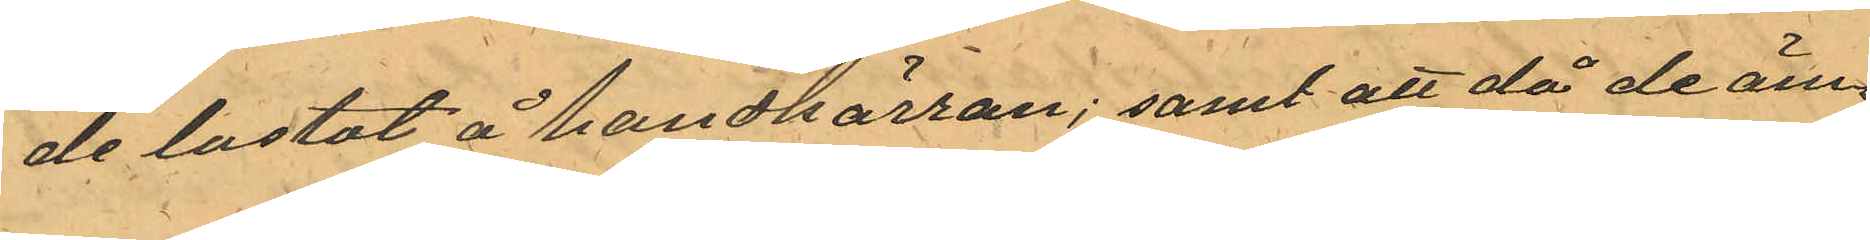de lastat å handkärran; samt att då de äm¬
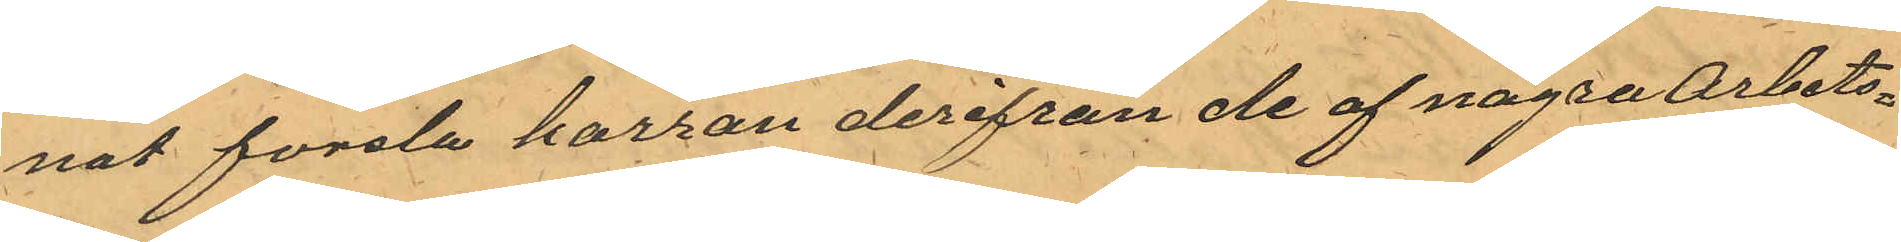nat forsla karran derifrån de af några Arbets¬
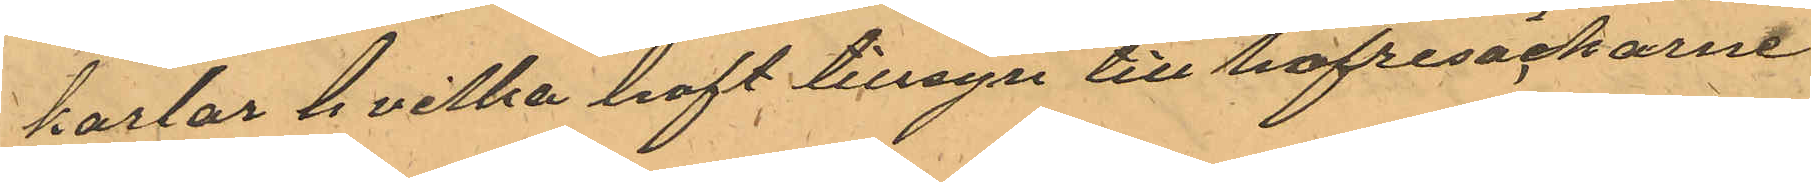karlar hvilka haft tillsyn till hafresäckarne
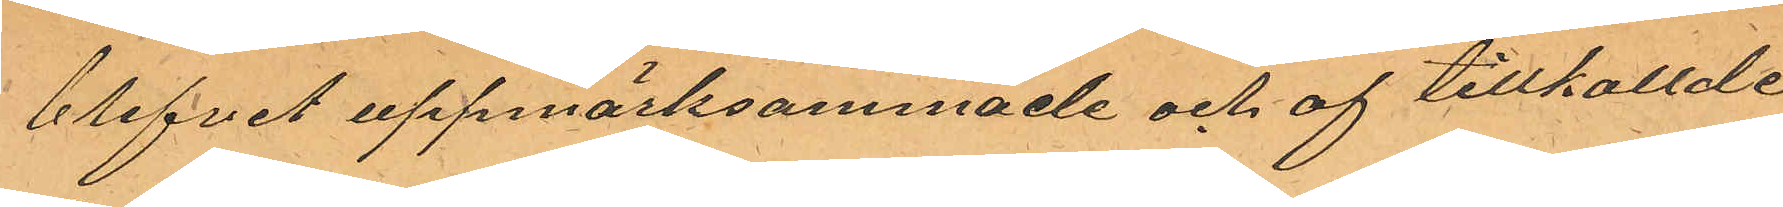blifvit uppmärksammade och af tillkallde
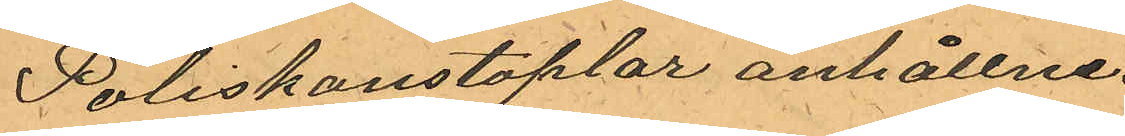Poliskonstaplar anhållne.
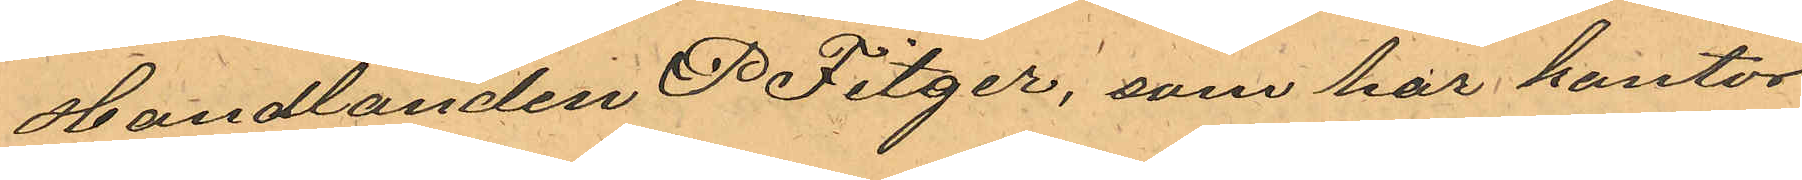Handlanden P Fitger, som har kontor
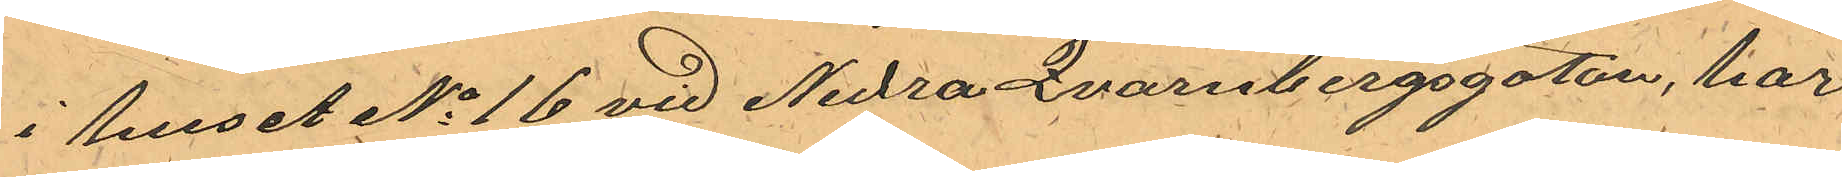i huset No 16 vid Nedra Qvarnbergsgatan, har
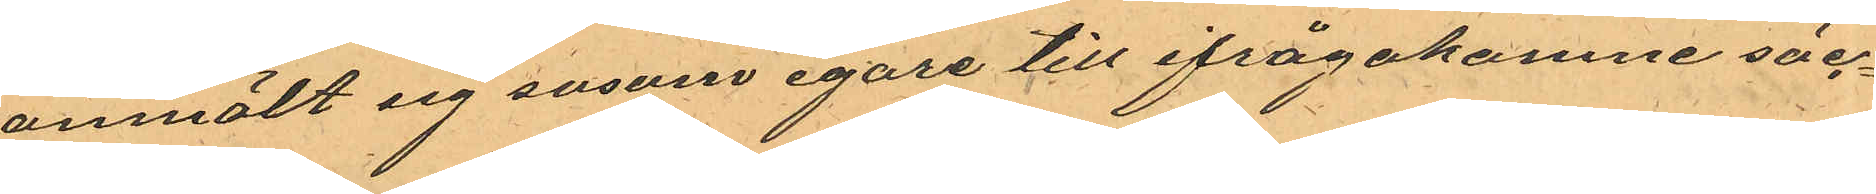anmält sig sasom egare till ifrågakomne säc¬
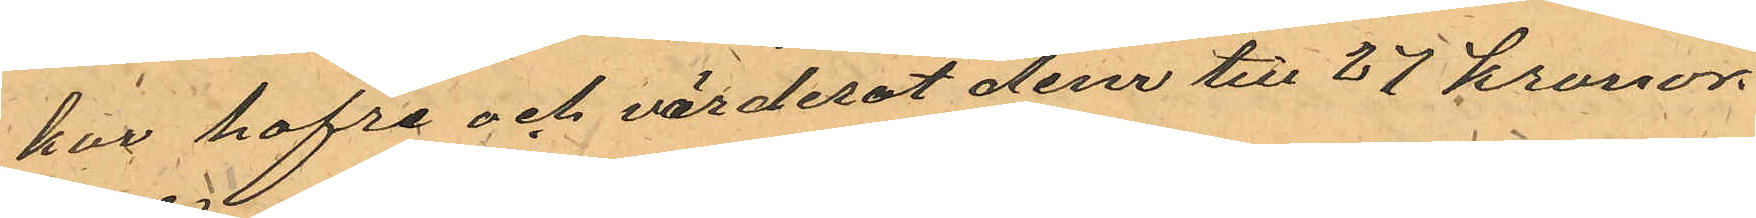kar hafre och värderat dem till 27 kronor.
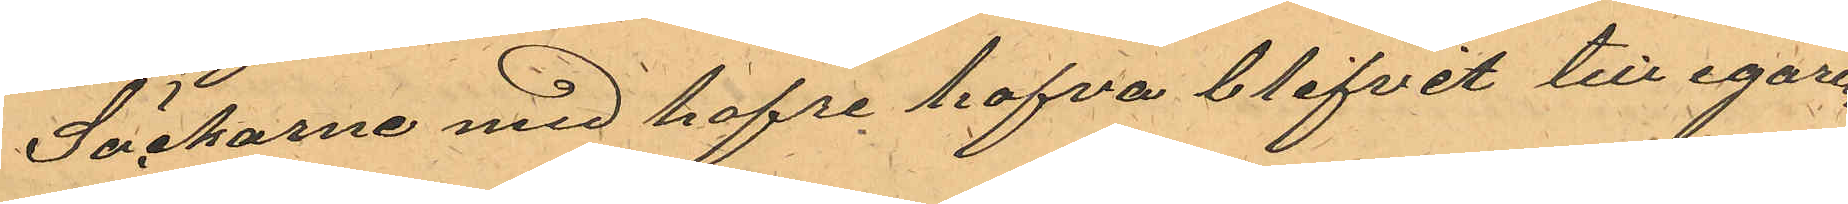Säckarne med hafre hafva blifvit till egaren
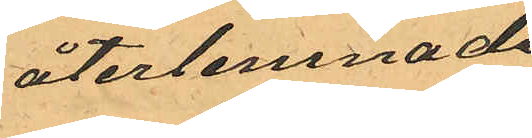återlemnade
